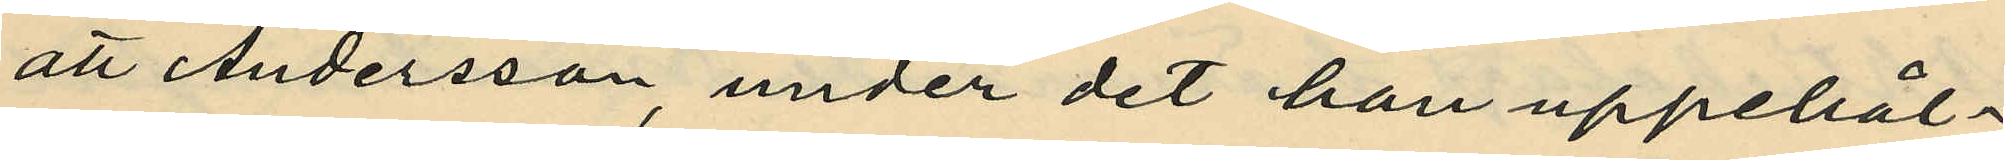att Andersson, under det han uppehål¬
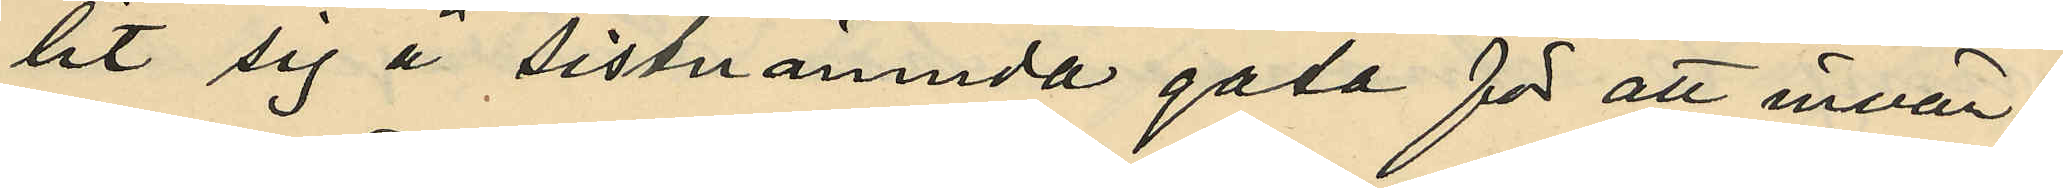lit sig å sistnämnda gata för att invän¬
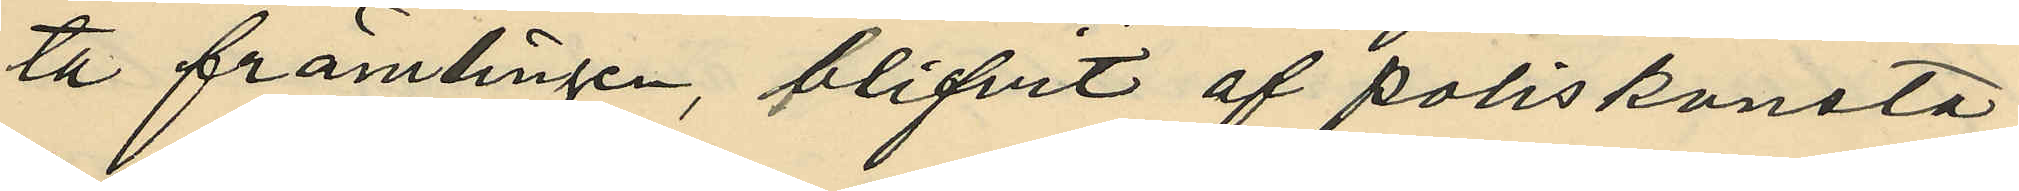ta främlingen, blifvit af poliskonsta¬
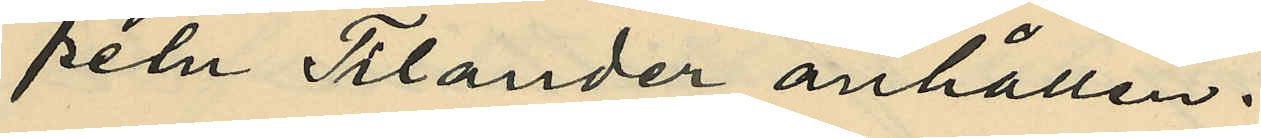peln Tilander anhållen.
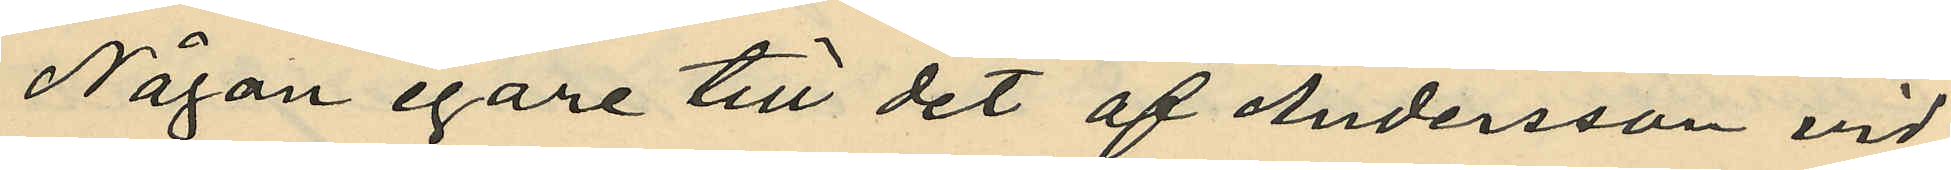Någon egare till det af Andersson vid
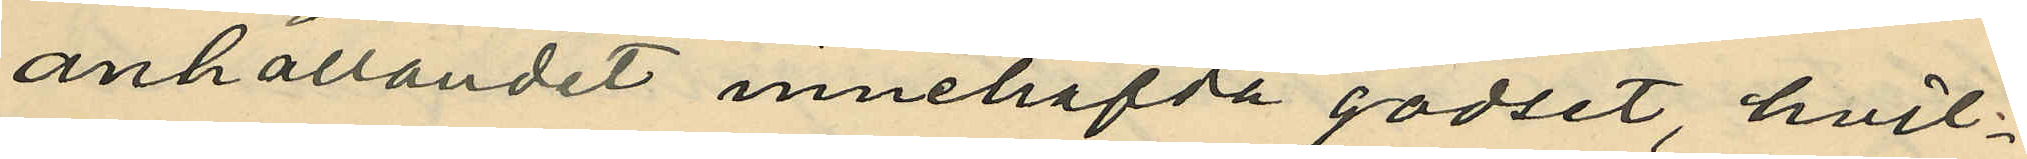anhållandet innehafda godset, hvil¬
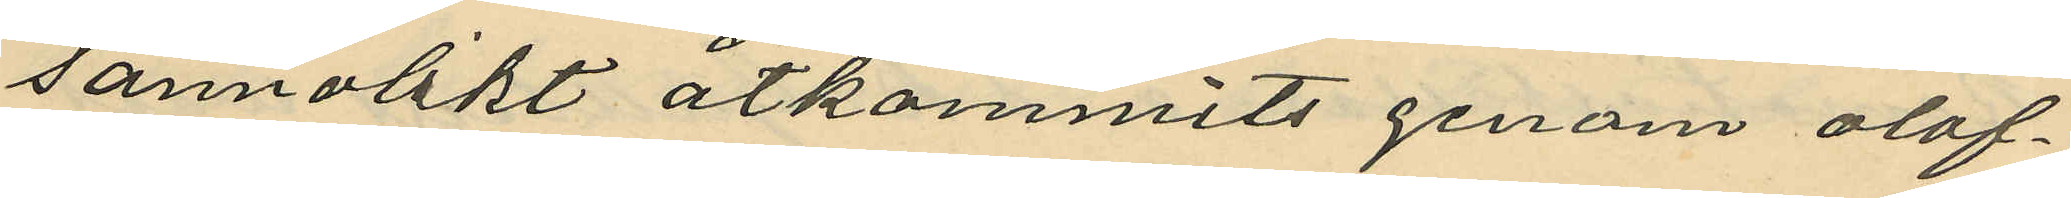sannolikt åtkommit genom olof¬
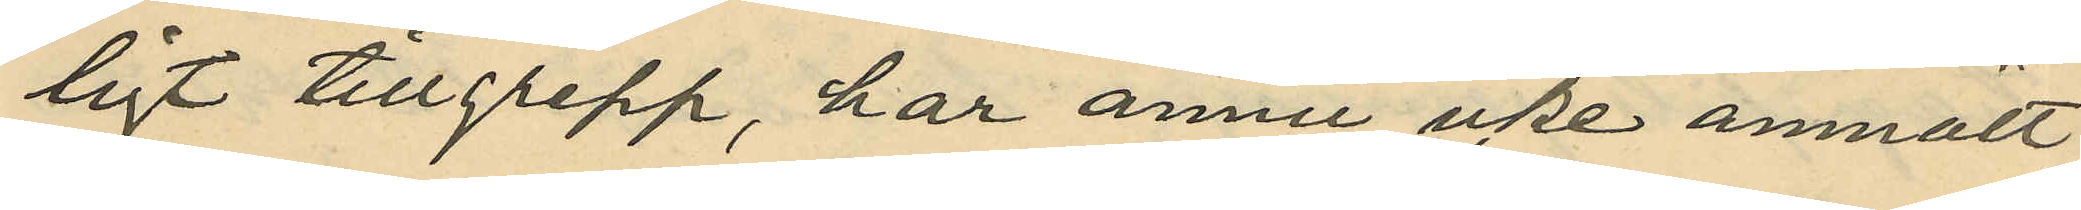ligt tillgrepp, har ännu icke anmält
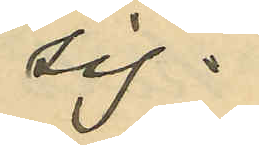sig.
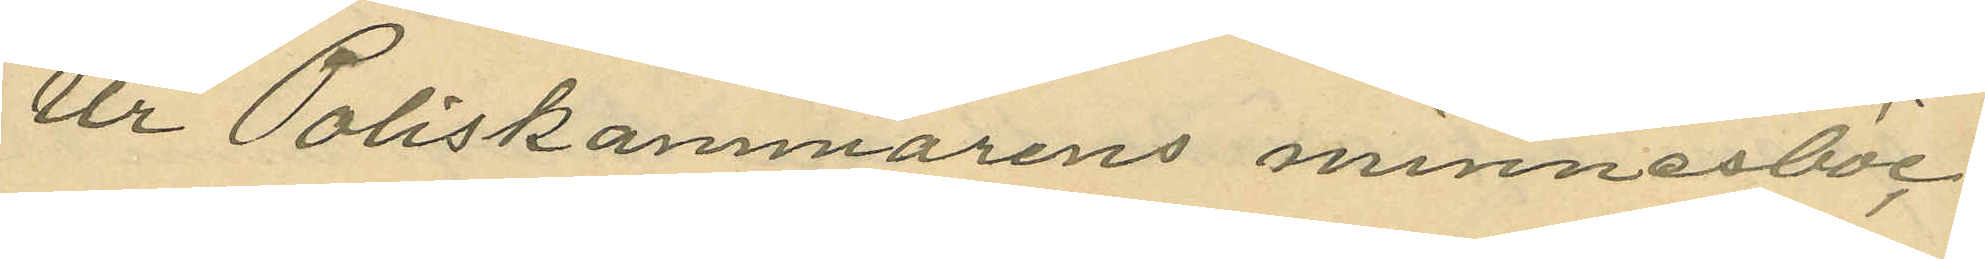Ur Poliskammarens minnesböc¬
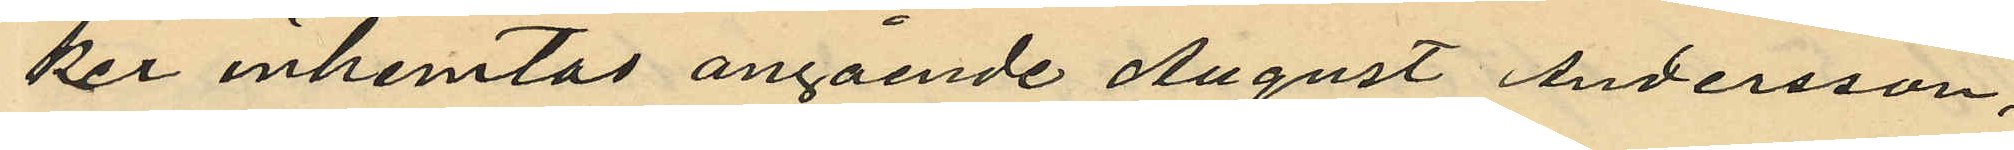ker inhemtas angående August Andersson,
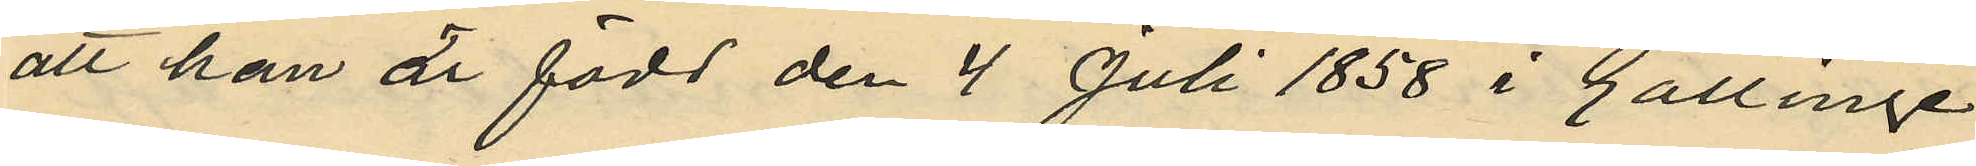att han är född den 4 Juli 1858 i Gällinge
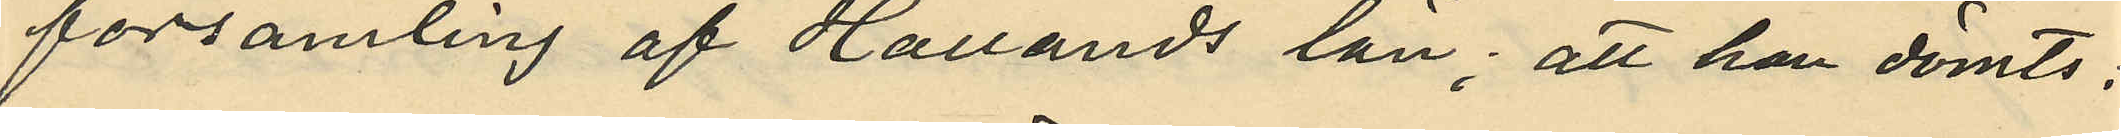församling af Hallands län; att han dömts:
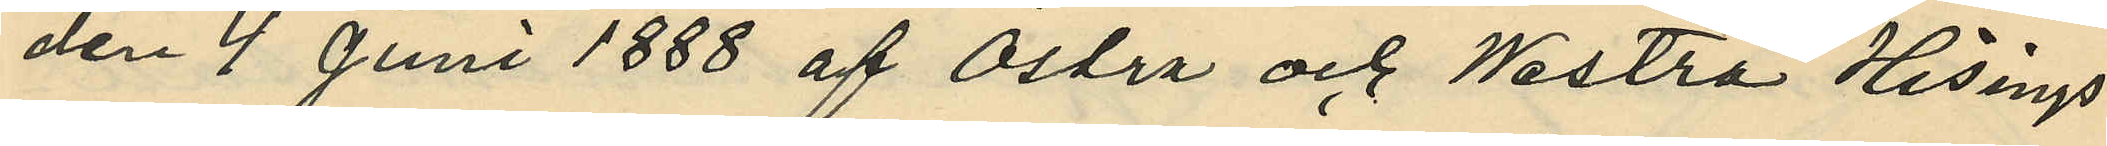den 4 Juni 1888 af Östra och Westra Hisings
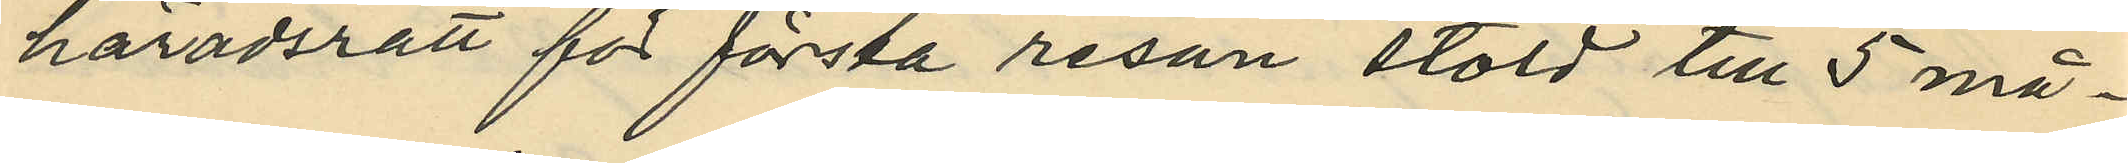häradsrätt för första resan stöld till 5 må¬
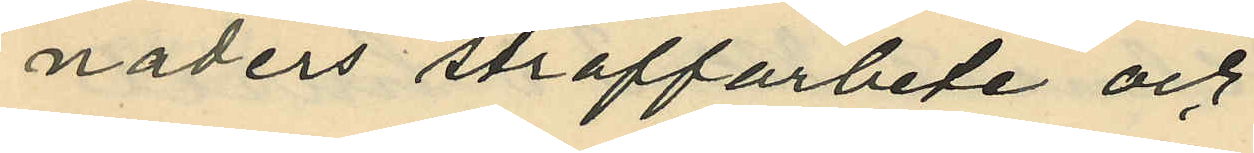naders straffarbete och
